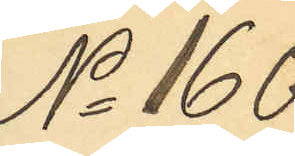No 160
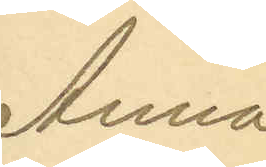Anna
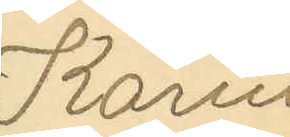Karin
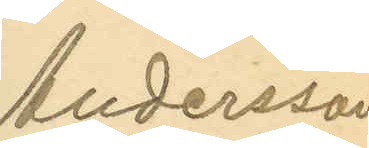Andersson
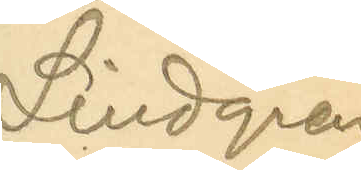Lindgren
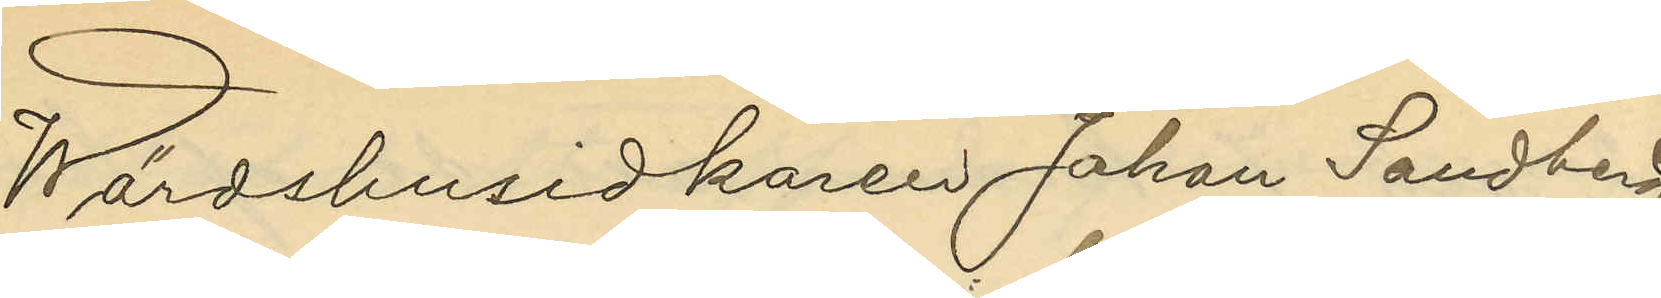Wärdshusidkaren Johan Sandberg
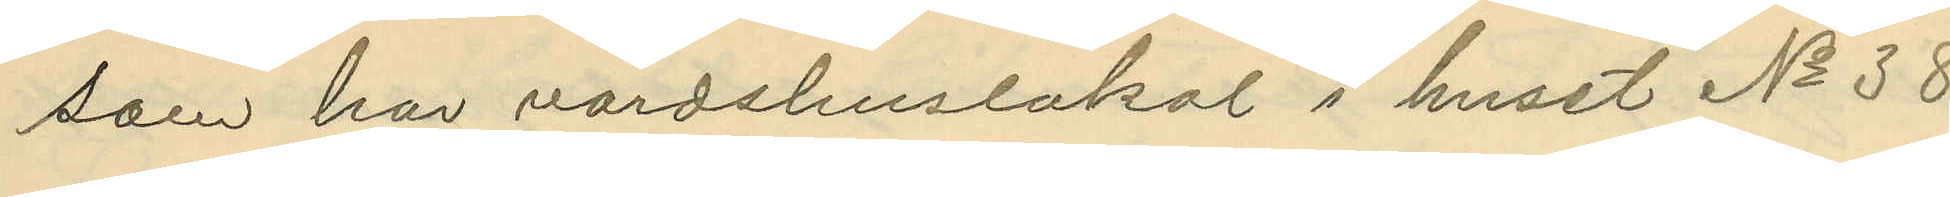som har värdshuslokal i huset No 38
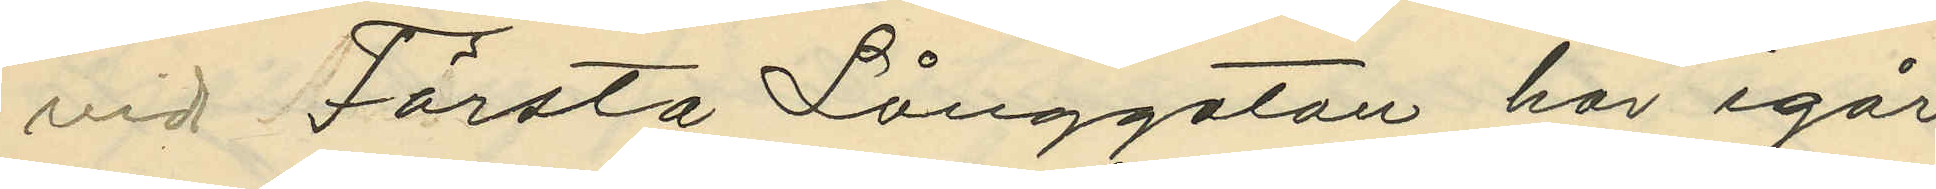vid Första Långgatan har igår
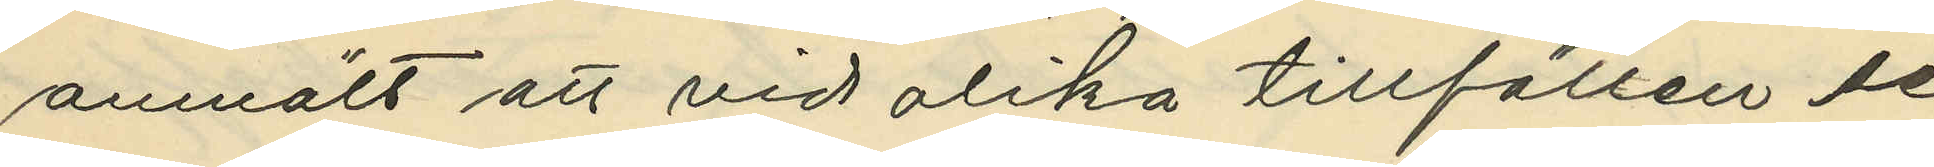anmält att vid olika tillfällen se¬
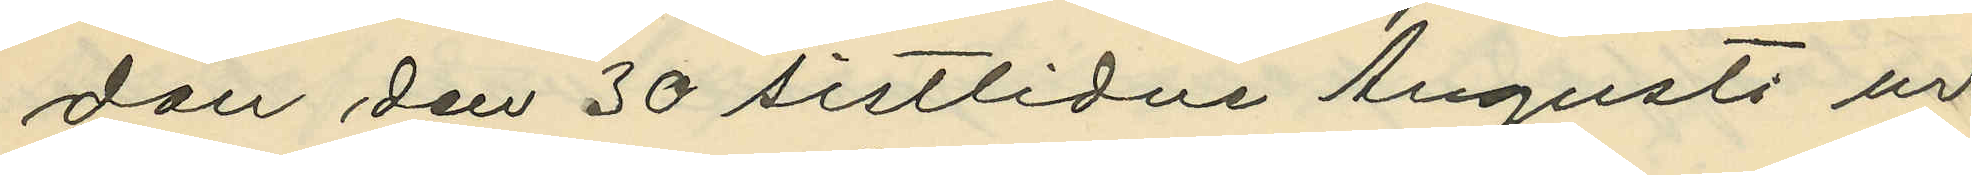dan den 30 sistlidne Augusti ur
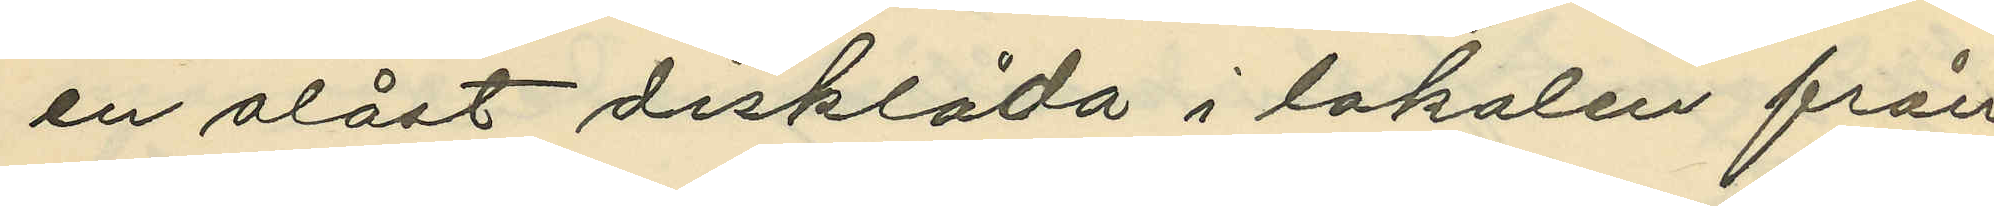en olåst disklåda i lokalen från
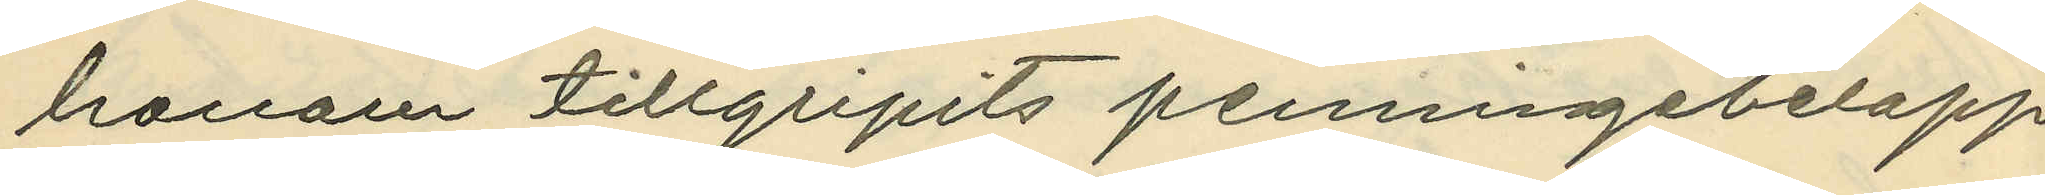honom tillgripits penningebelopp
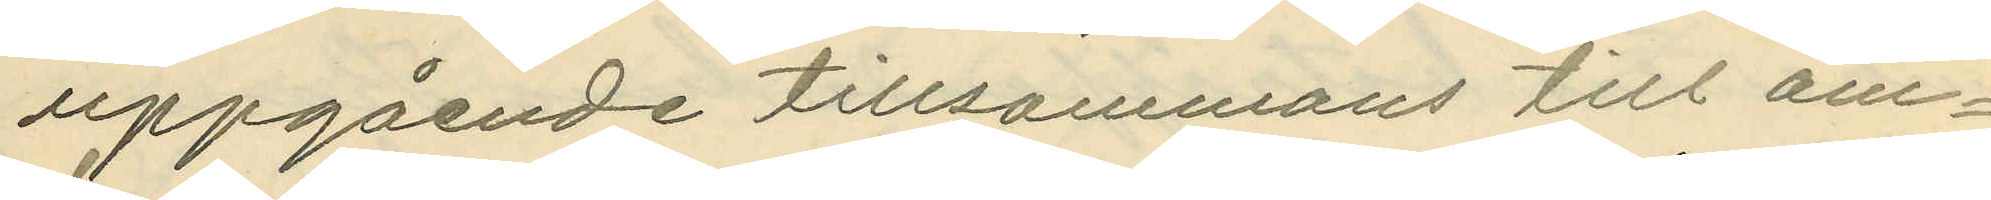uppgående tillsammans till om¬
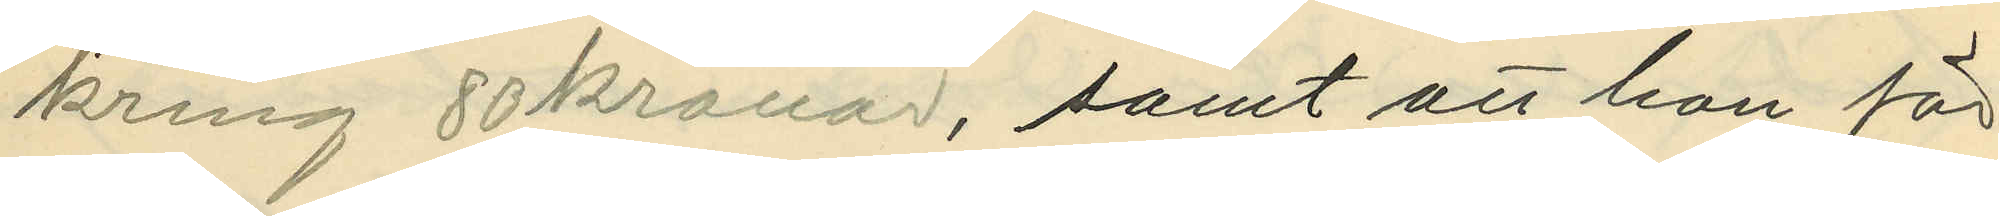kring 80 kronor, samt att han för
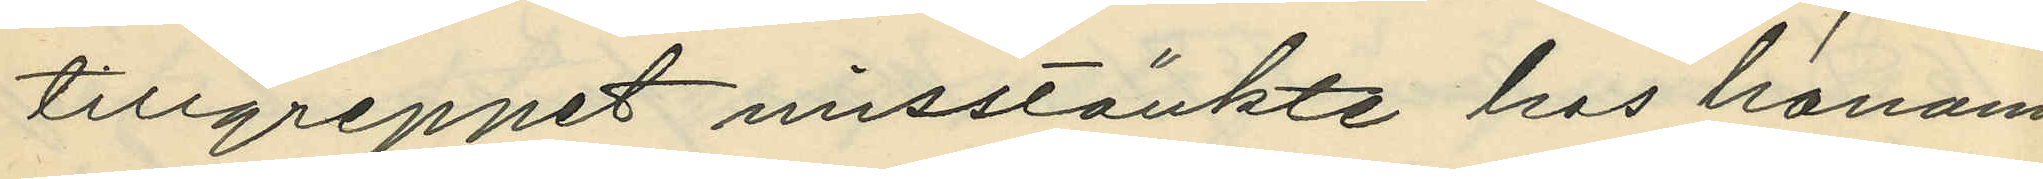tillgreppet misstänkte hos honom.
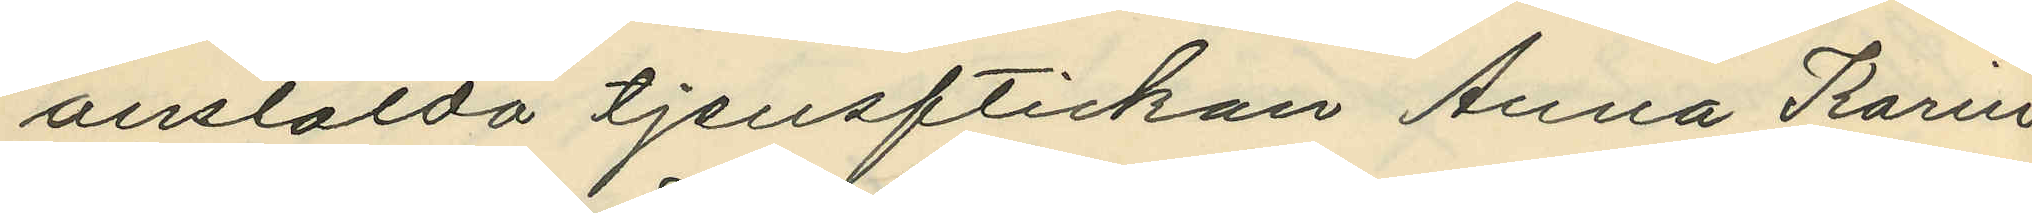anstälda tjensftickan Anna Karin
